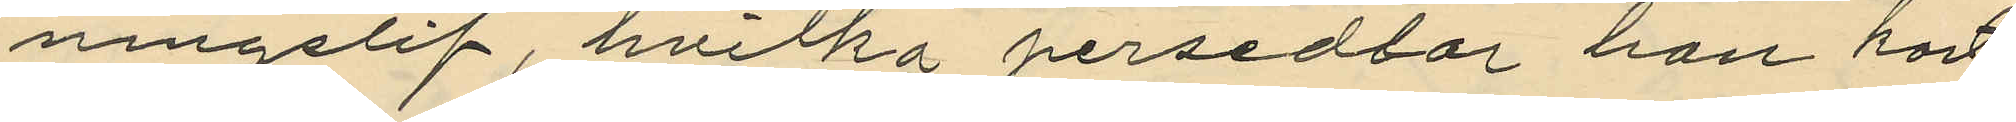ningslif, hvilka persedlar han kort
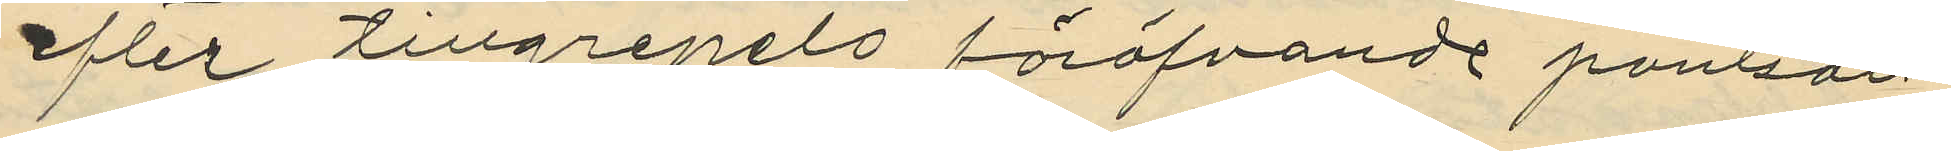efter tillgripits föröfvande pantsatt
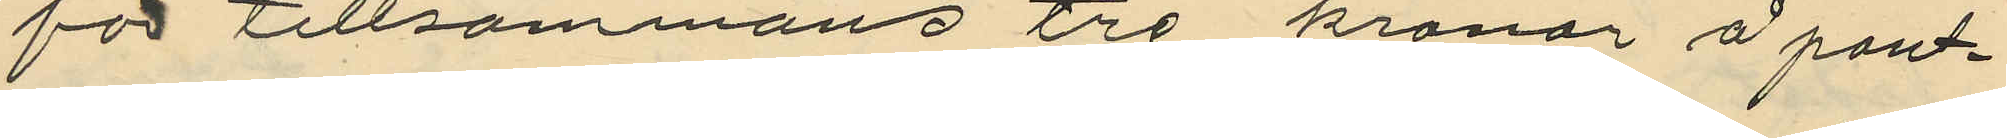för tillsammans tre kronor å pant¬
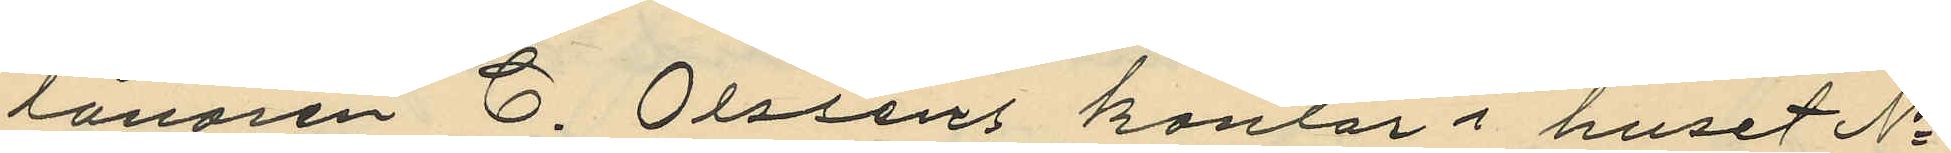lånaren C. Olsséns kontor i huset No
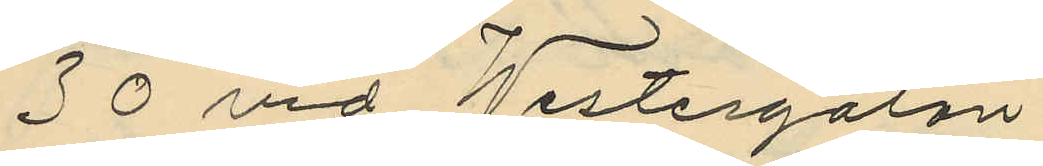30 vid Westergatan
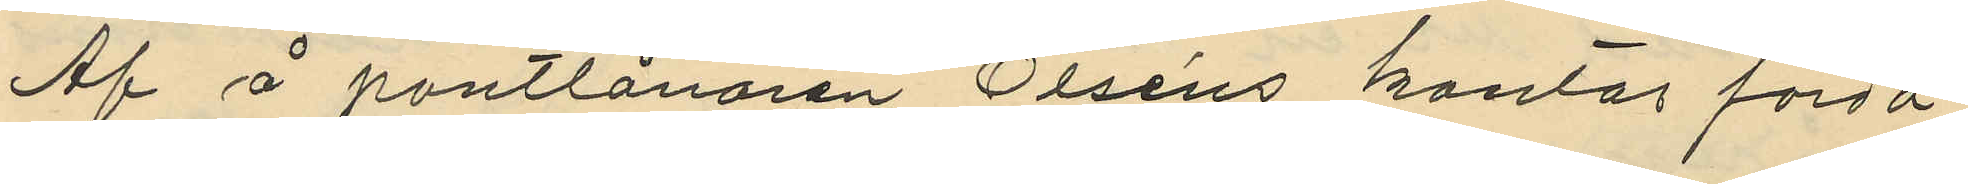Af å pantlånaren Olséns kontor förda
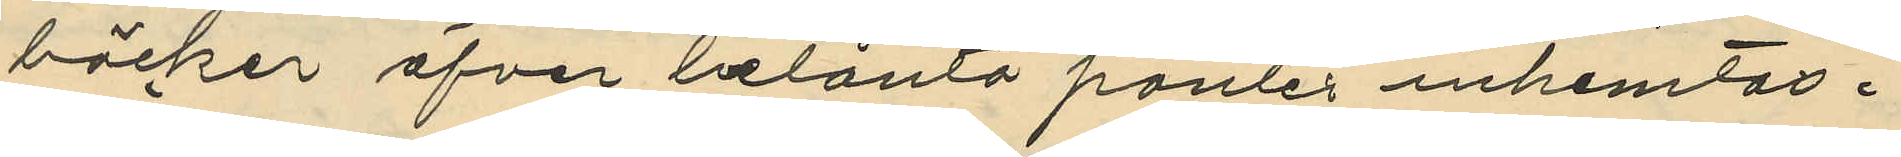böcker öfver belånta panter inhemtas,
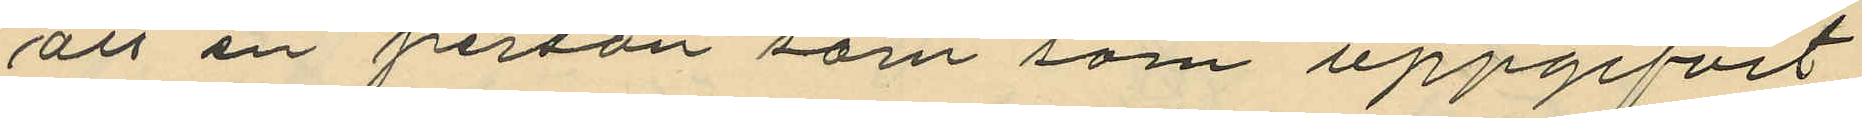att en person som som uppgifvit
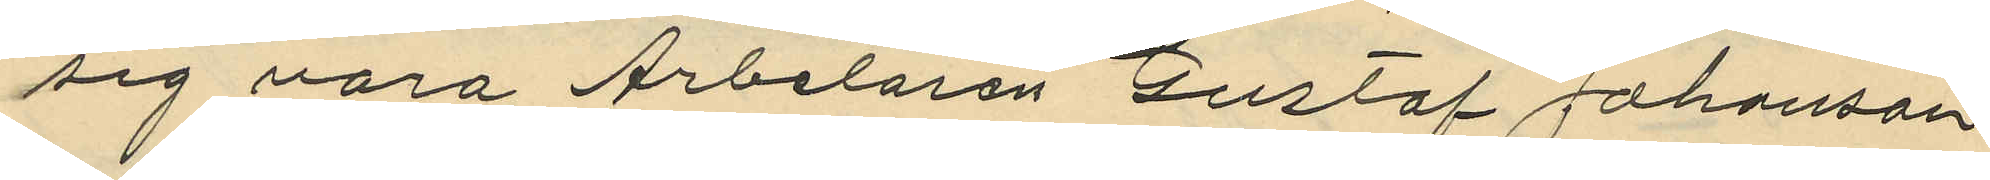sig vara Arbetaren Gustaf Johansson
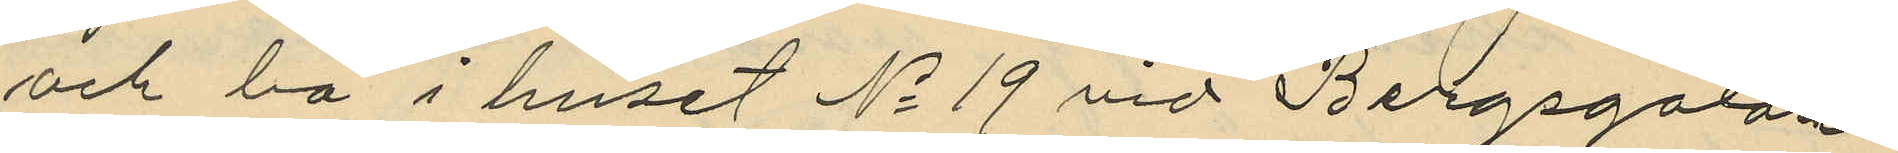och bo i huset No 19 vid Bergsgatan
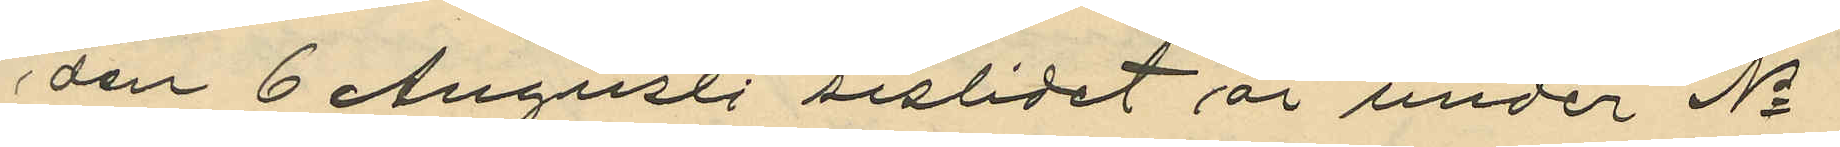den 6 Augusti sislidet år under No
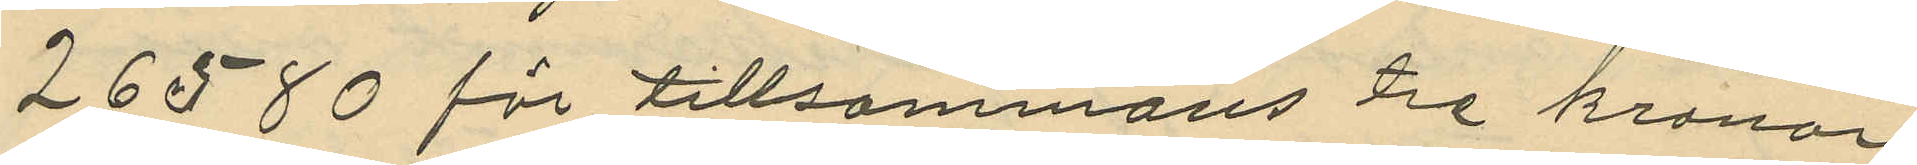26580 för tillsammans Tre kronor
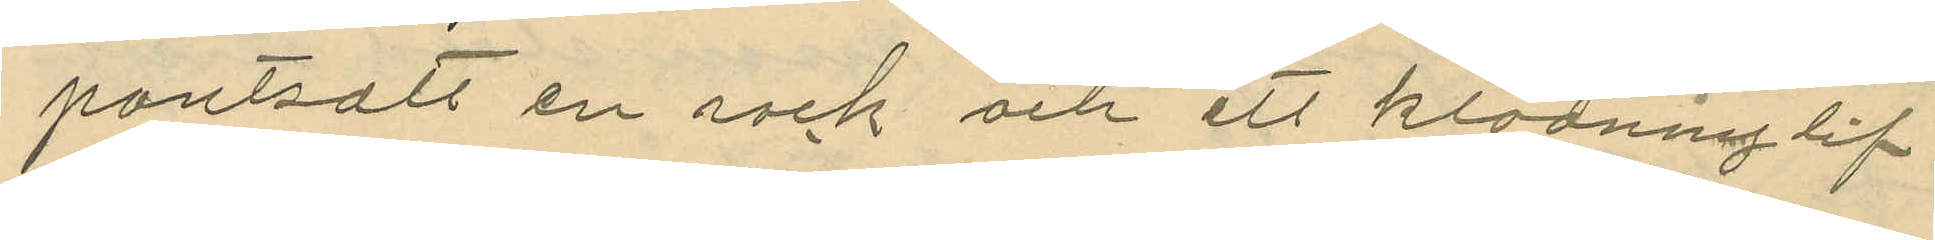pantsatt en rock och ett klädninglif
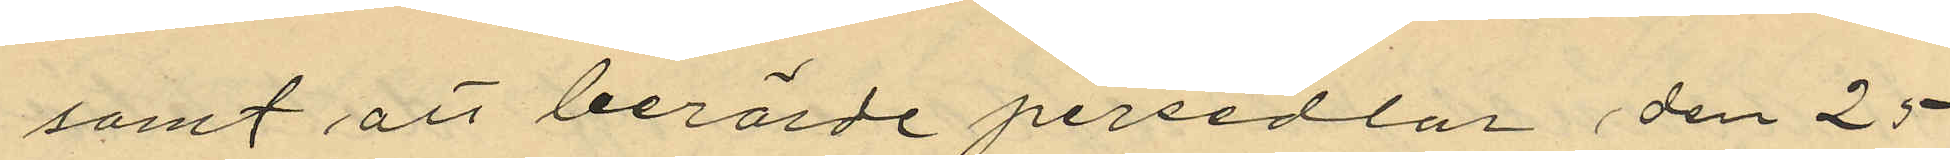samt att berörde persedlar den 25
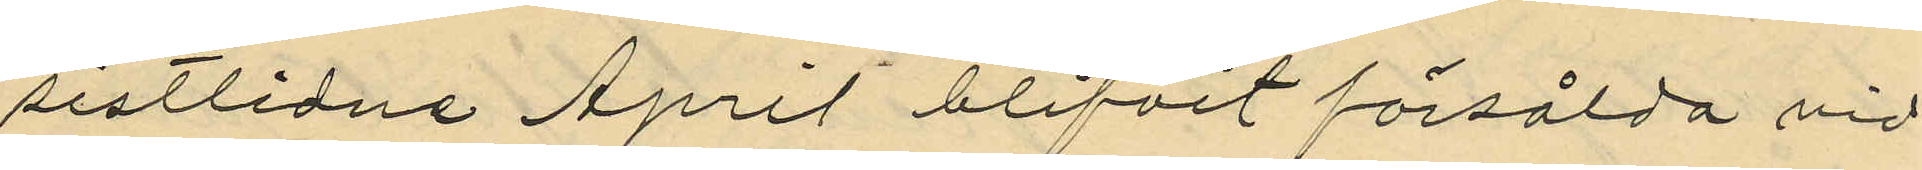sistlidne April blifvit försålda vid
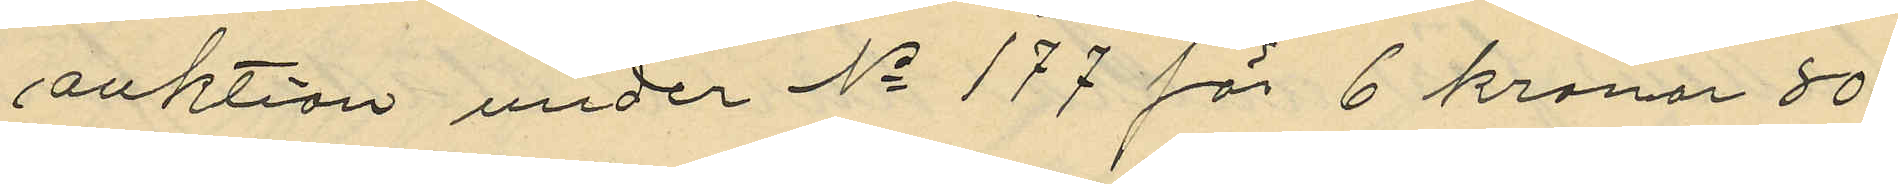auktion under No 177 för 6 kronor 80
